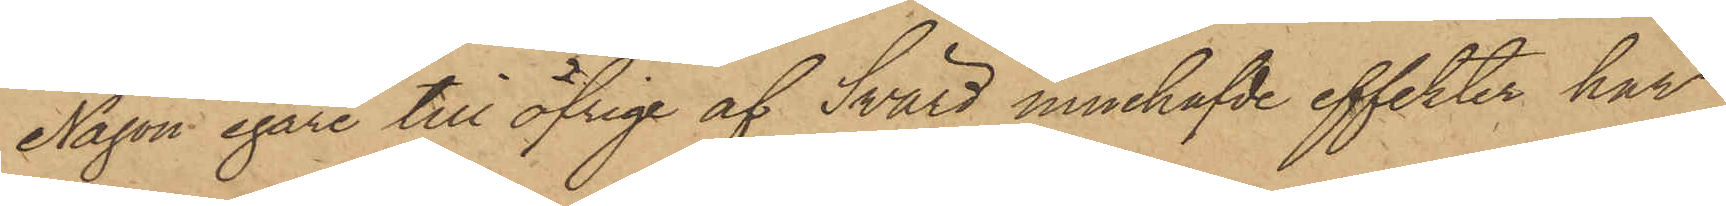Någon egare till öfrige af Svärd innehafde effekter, har
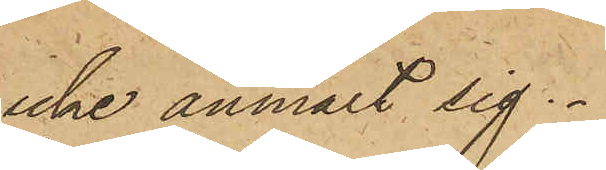icke anmält sig.
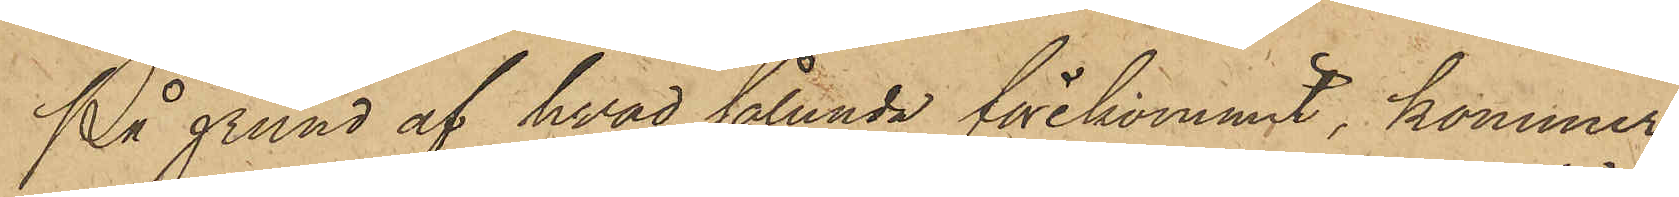På grund af hvad sålunda förekommit, kommer
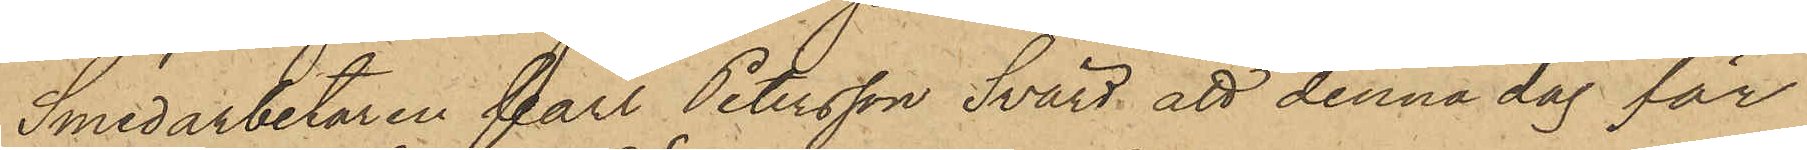Smedarbetaren Carl Petersson Svärd att denna dag för
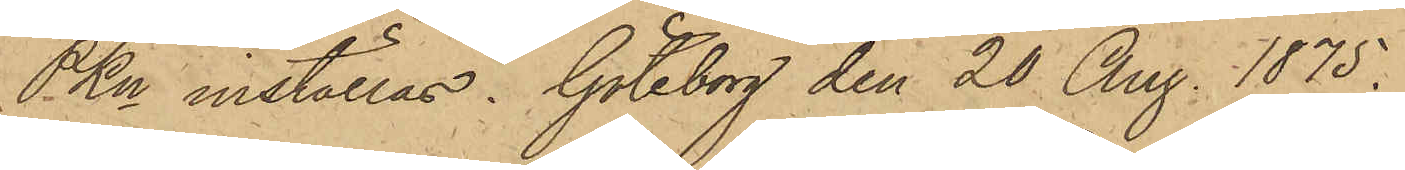PKn inställas. Göteborg den 20 Aug. 1875.
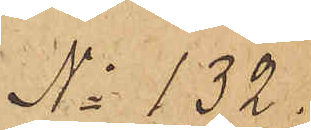No 132.
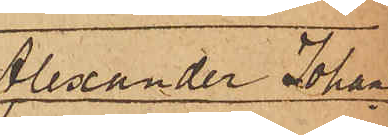Alexander Johan¬
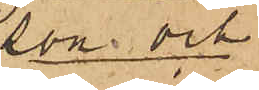son och
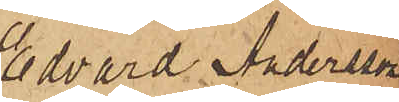Edvard Andersson
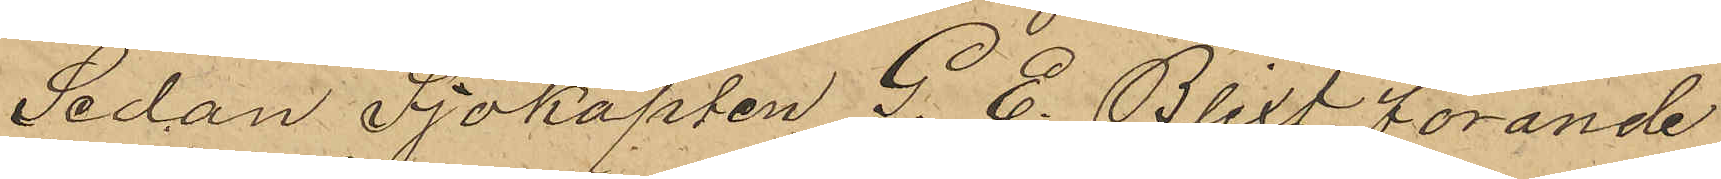Sedan Sjökapten G. E. Blixt förande
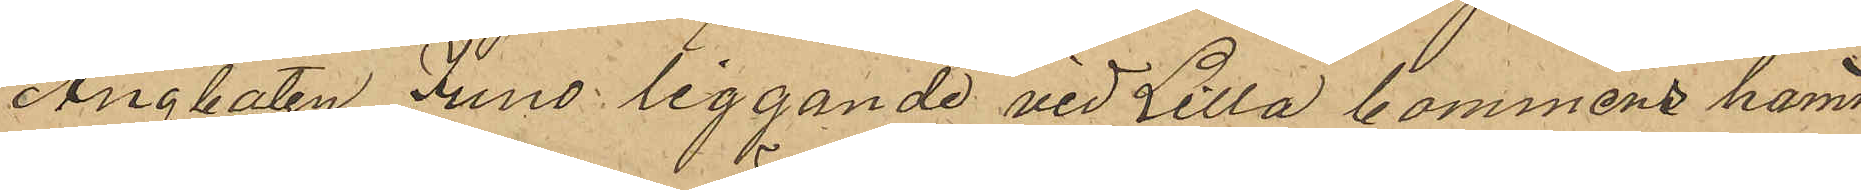Ångbåten Juno liggande vid Lilla bommens hamn
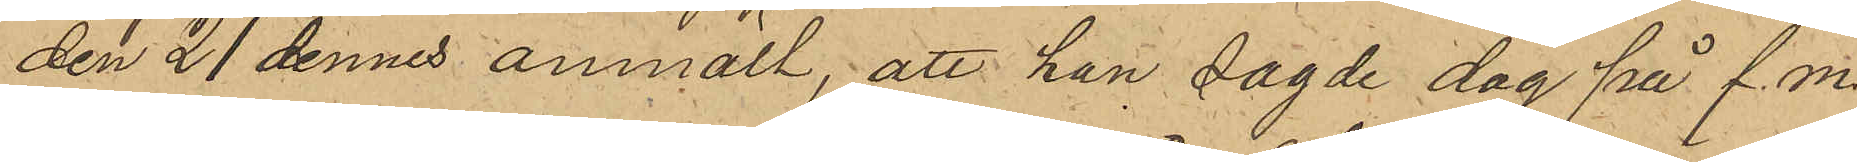den 21 dennes anmält, att han sagde dag på f. m.
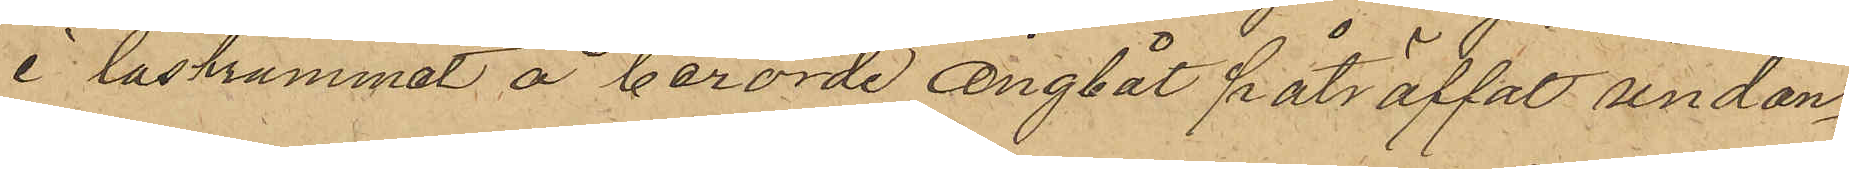i lastrummet å berörde ångbåt påträffat undan¬
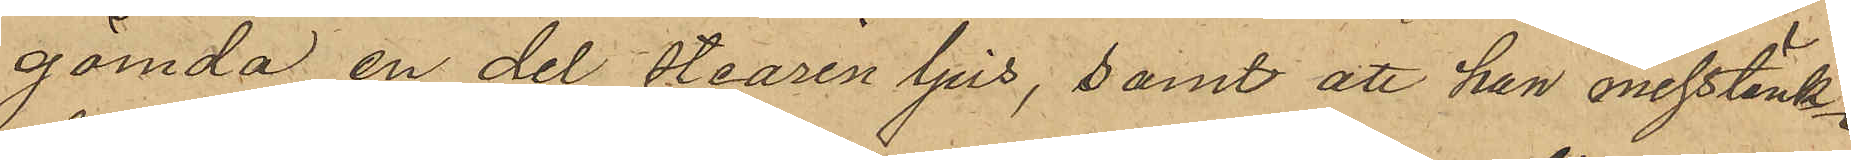gömda en del stearin ljus, samt att han misstänk¬
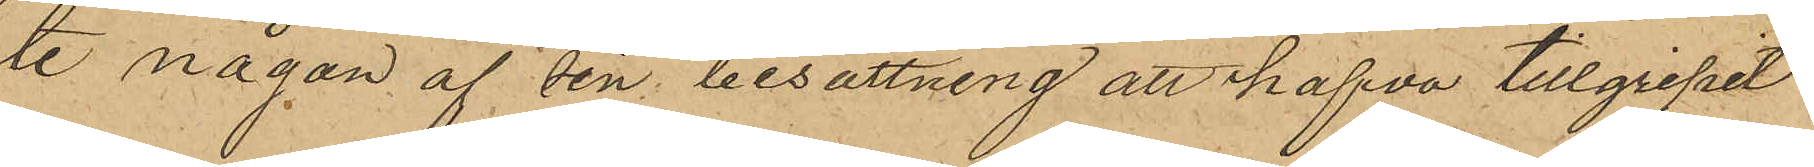te någon af sin besättning att hafva tillgripit
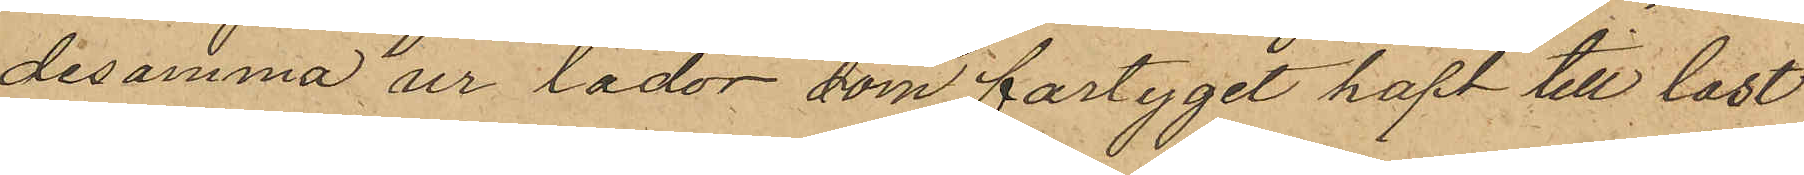desamma ur lådor, som fartyget haft till last
